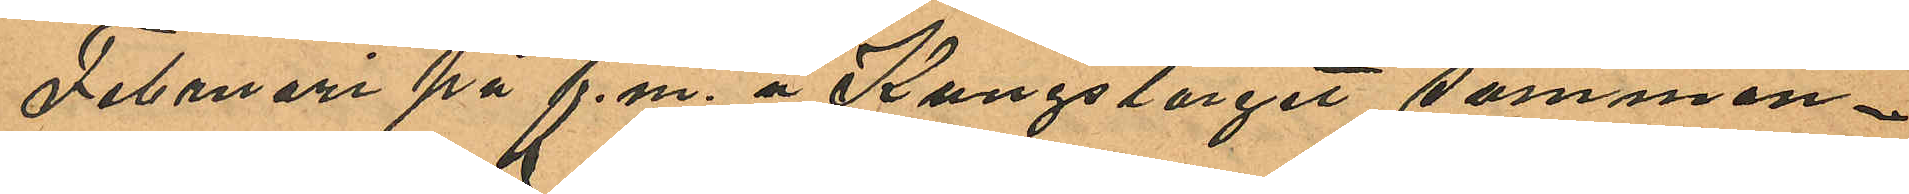Februari på f.m. å Kungstorget samman¬
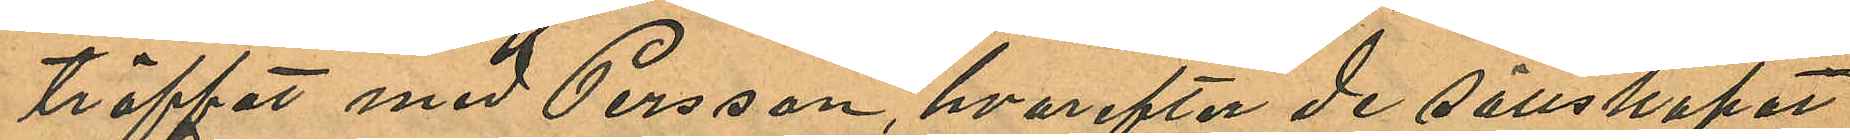träffat med Persson, hvarefter de sällskapat
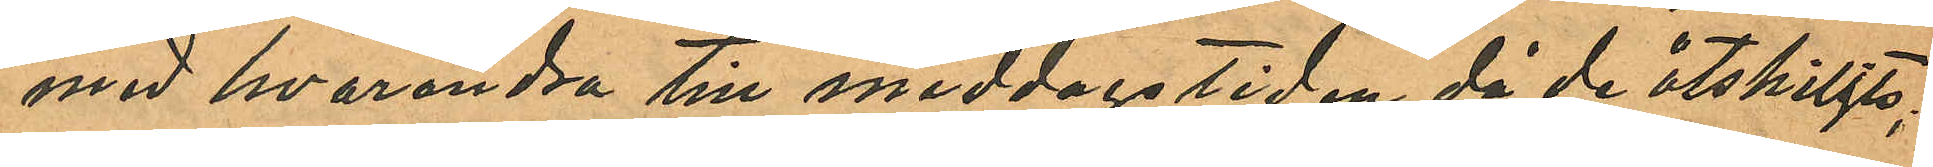med hvarandra till middagstiden då de åtskiljts;
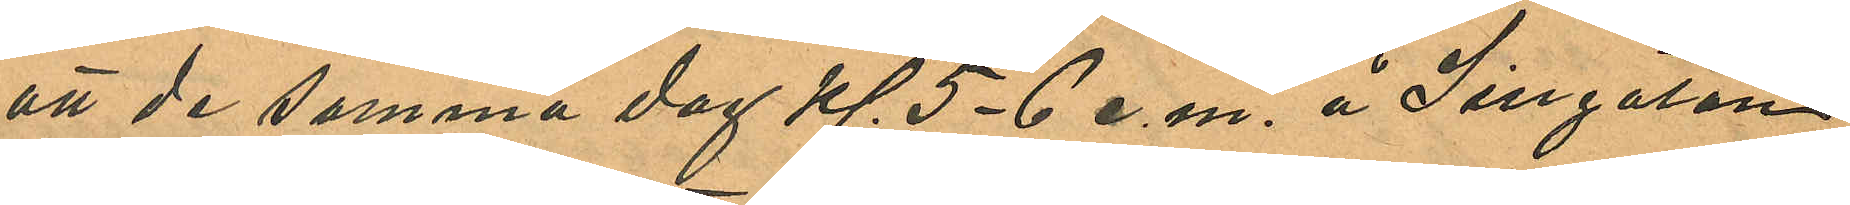att de samma dag kl. 5-6 e.m. å Sillgatan
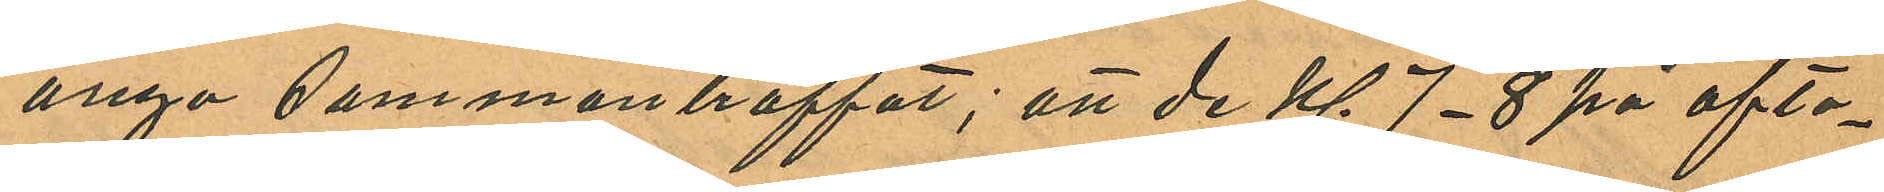ånyo sammanträffat; att de kl. 7-8 på afto¬
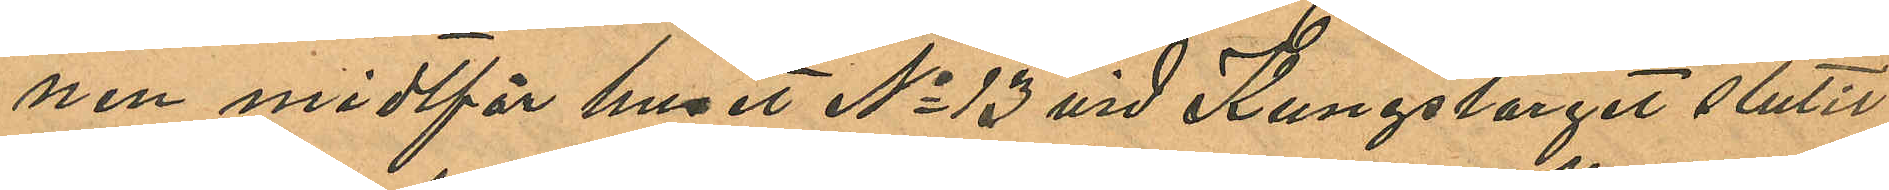nen midtför huset No 13 vid Kungstorget slutit
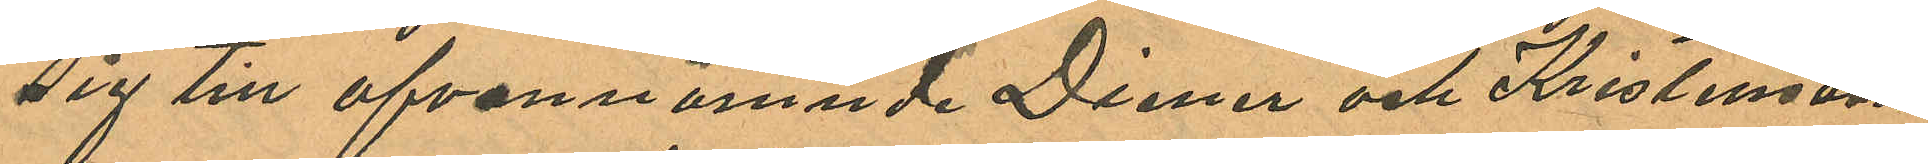sig till ofvannämnde Diener och Kristensson
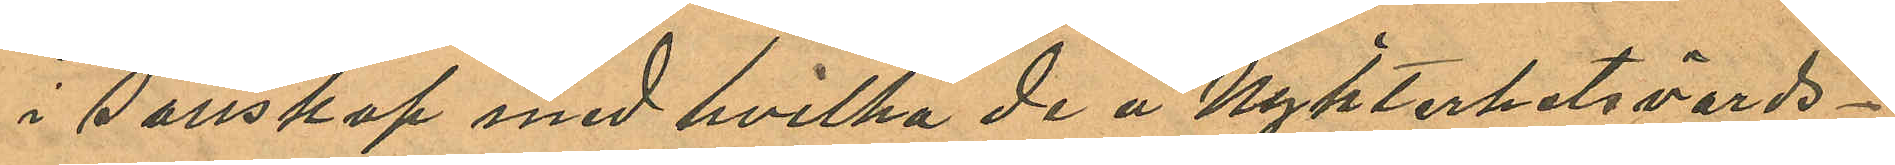i sällskap med hvilka de å Nykterhetsvärds¬
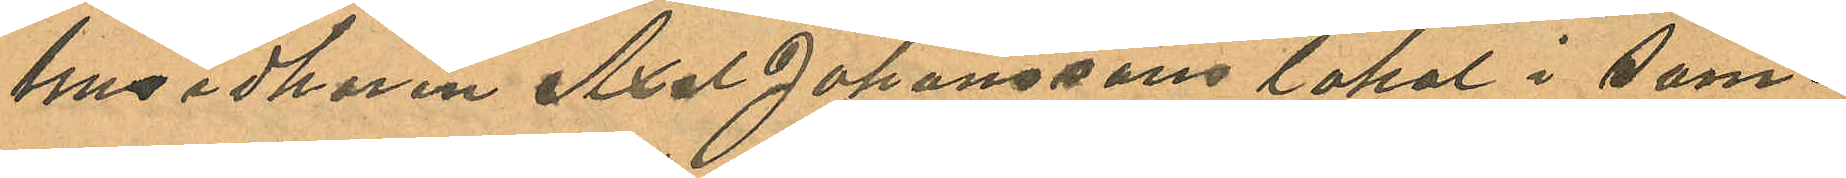husidkaren Axel Johanssons lokal i sam¬
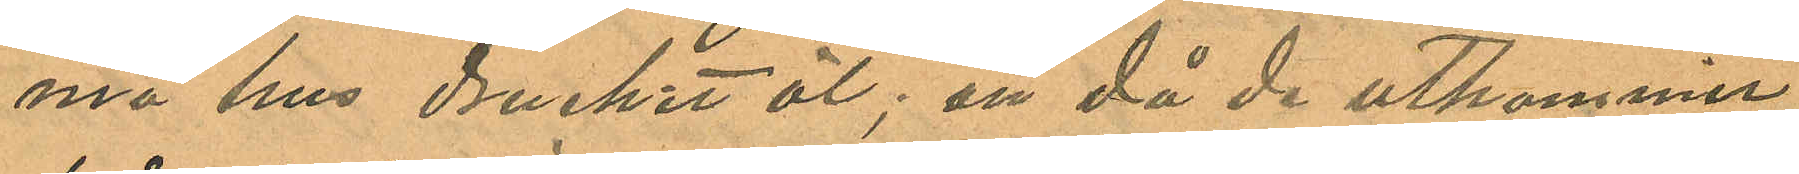ma hus druckit öl; att då de utkommit
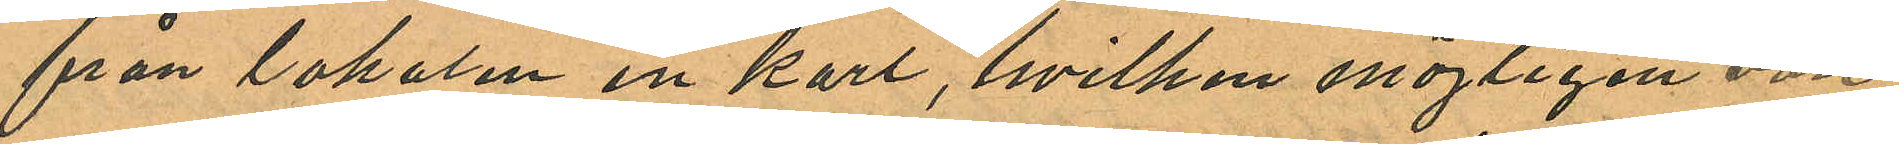från lokalen en karl, hvilken möjligen vore
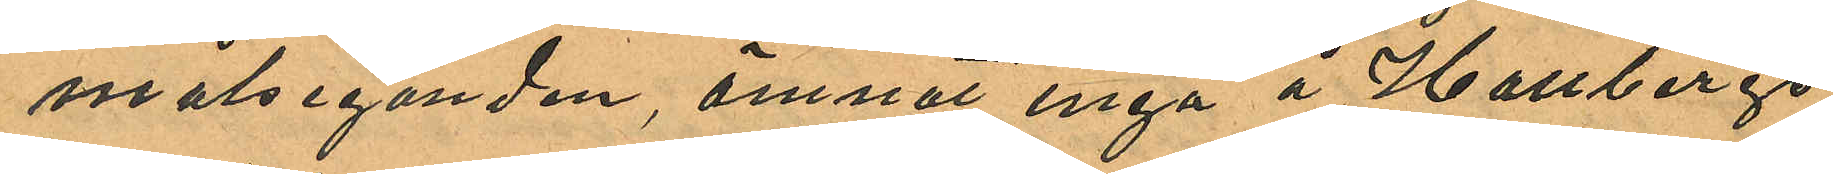målseganden ämnat ingå å Hallbergs
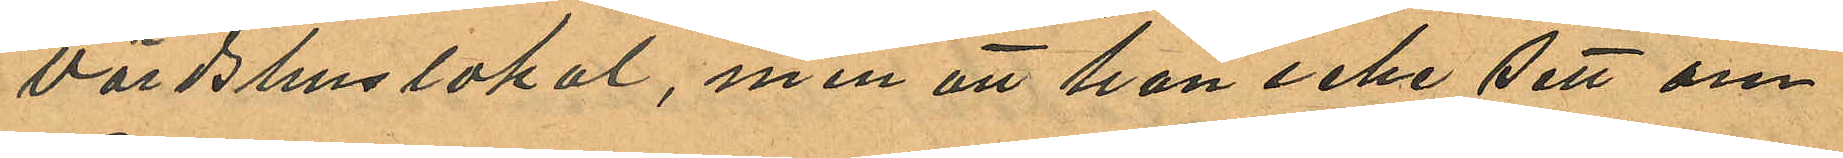värdshuslokal, men att han icke sett om
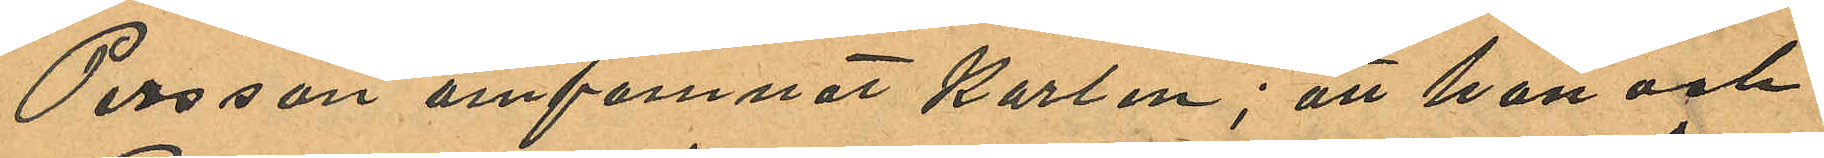Persson omfamnar karlen; att han och
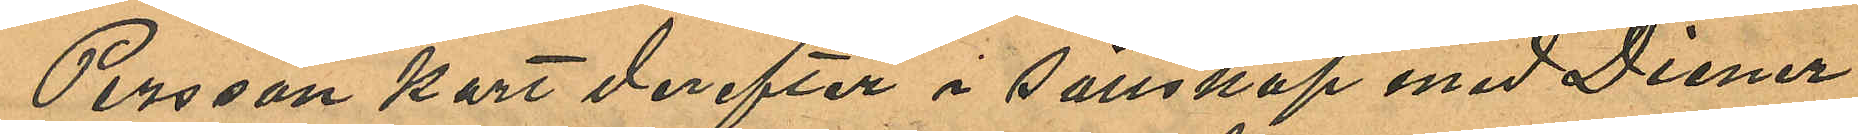Persson kort derefter i sällskap med Diener
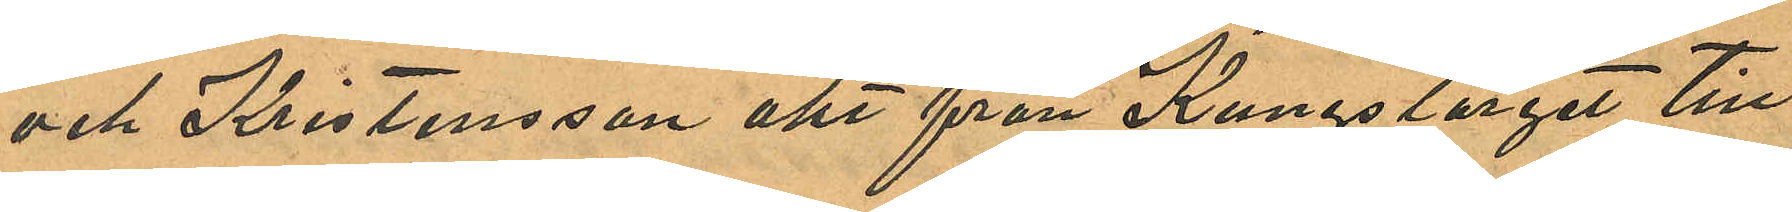och Kristensson åkt från Kungstorget till
